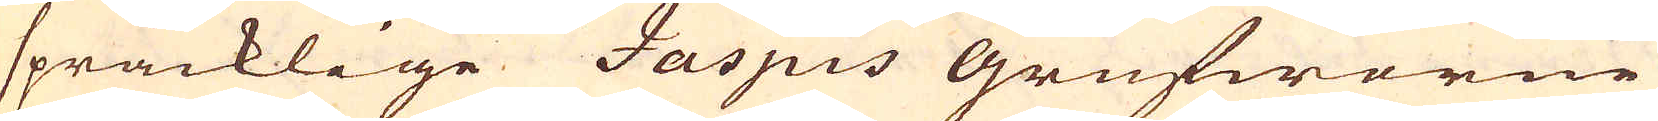spräcklige Jaspis grufworne
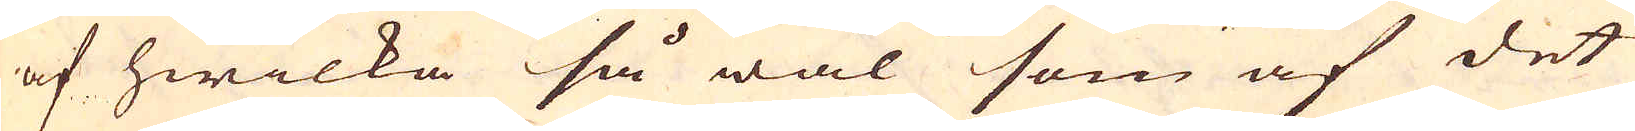af hwilka så wäl som af det
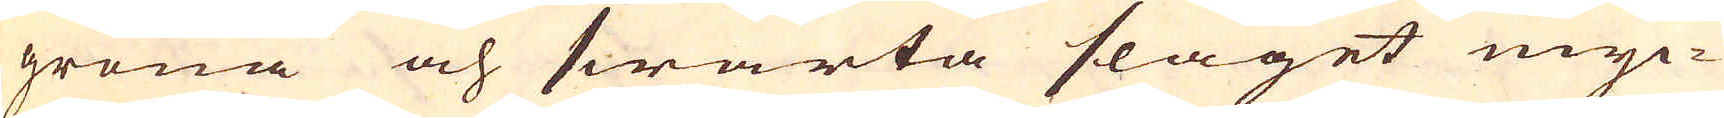gröna och swarta slaget myc-
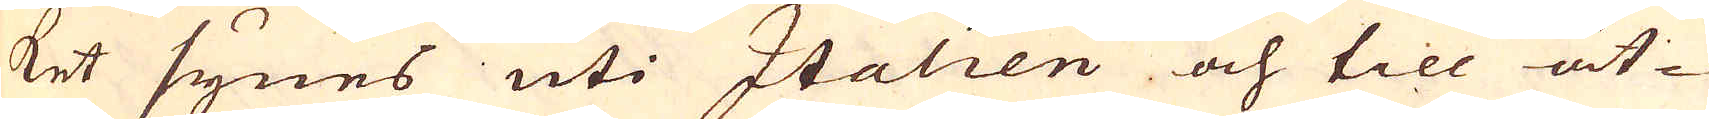ket synes uti Italien och till åt-
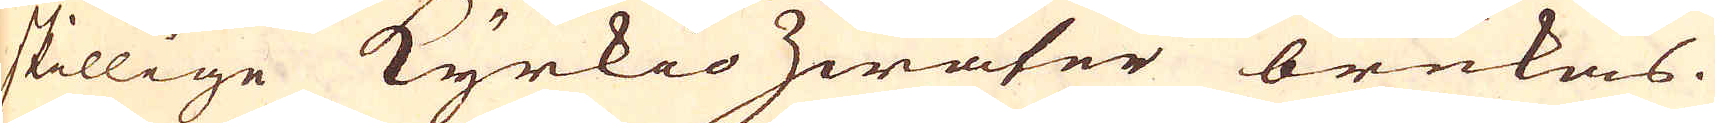skillige Kyrkio zirater brukas.
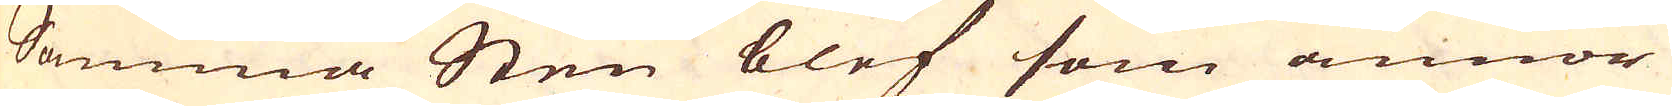Samma Sten blef som annor
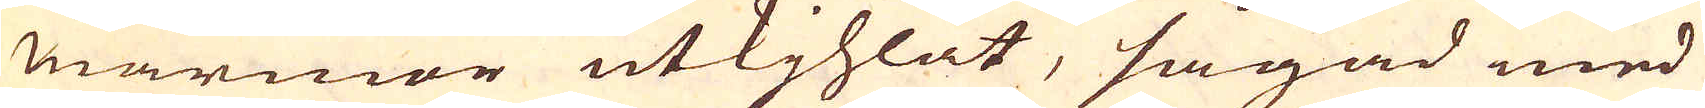marmor utkjhlat, sågad med
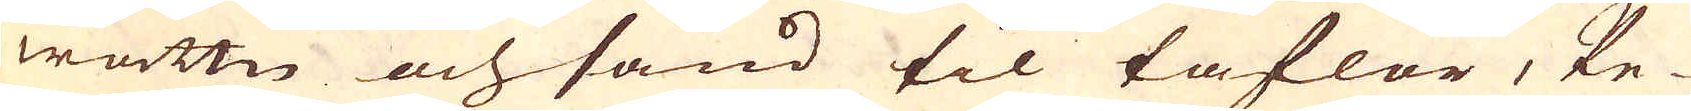wattn och sand til taflor, Pe-
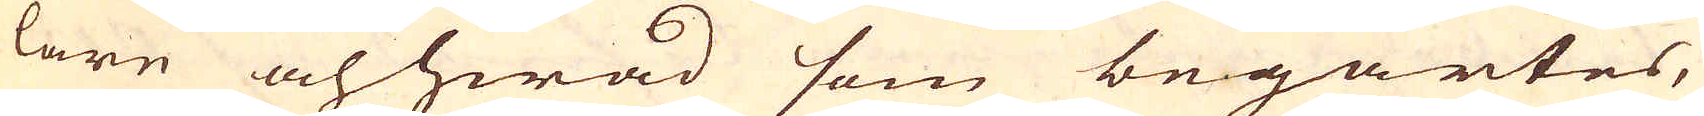lare och hwad som begärtes,
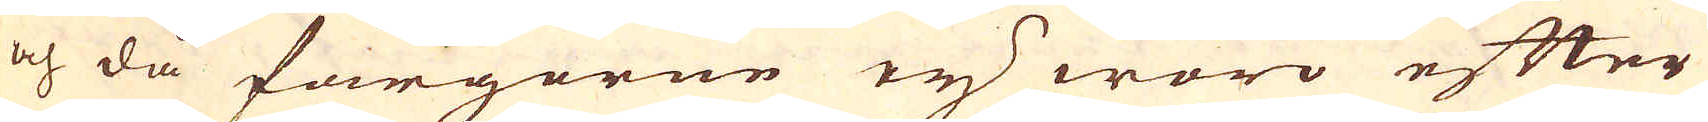och då färgorne ej woro efter
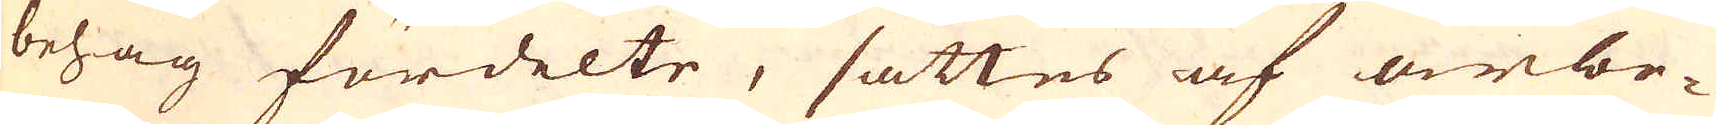behag fördelte, sättes af arbe-
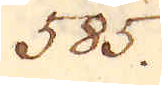585.
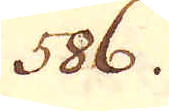586.
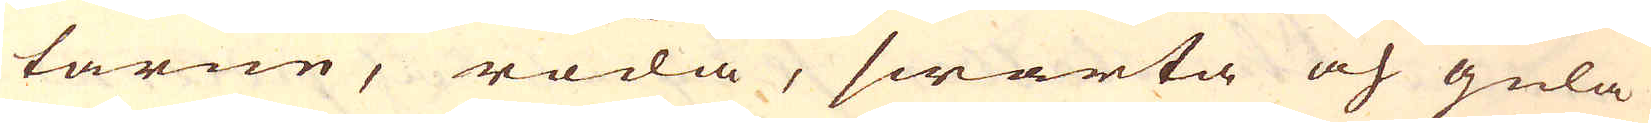tarne, röda, swarta och gula
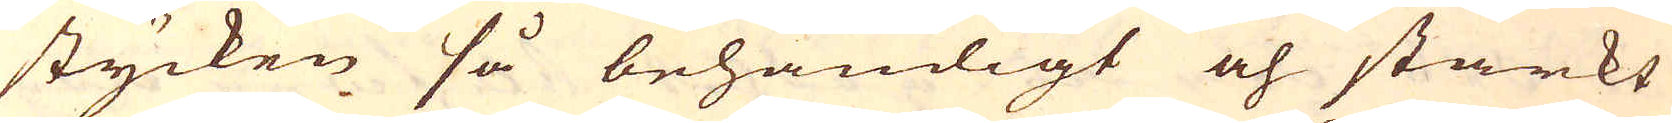stycken så behändigt och starkt
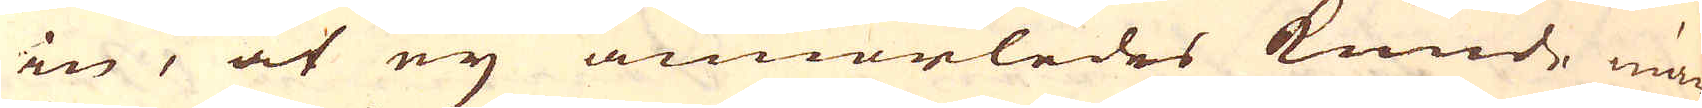in, at ey annorledes kunde mär-
